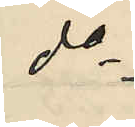do
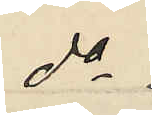do
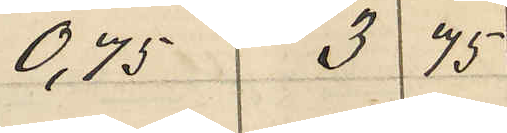0,75 3 75
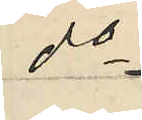do
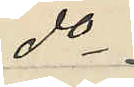do
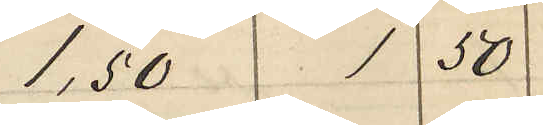1,50 1,50
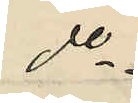do
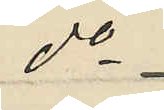do
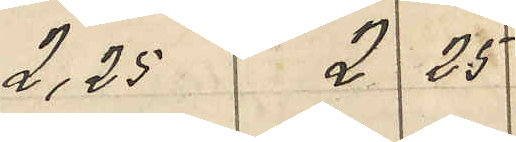2,25 2 25
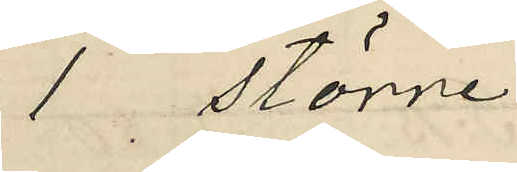1 större
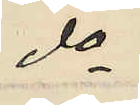do
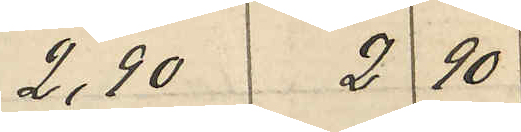2,90 2 90
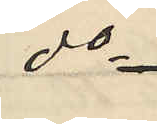do
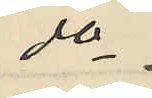do
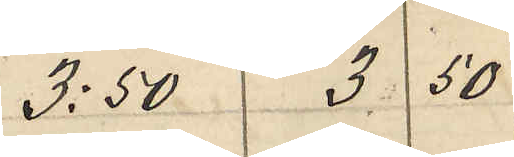3:50 3 50
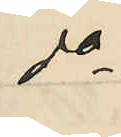do
